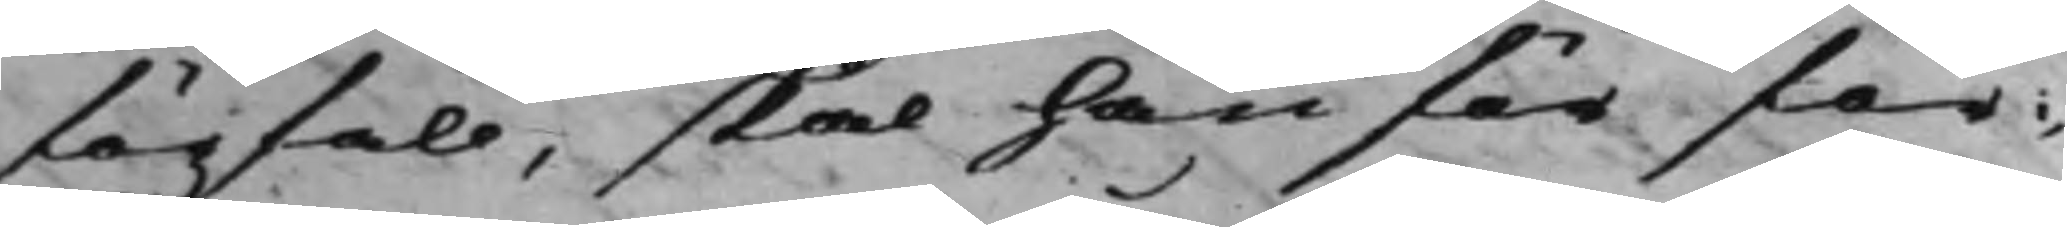förfall, skal han för för¬
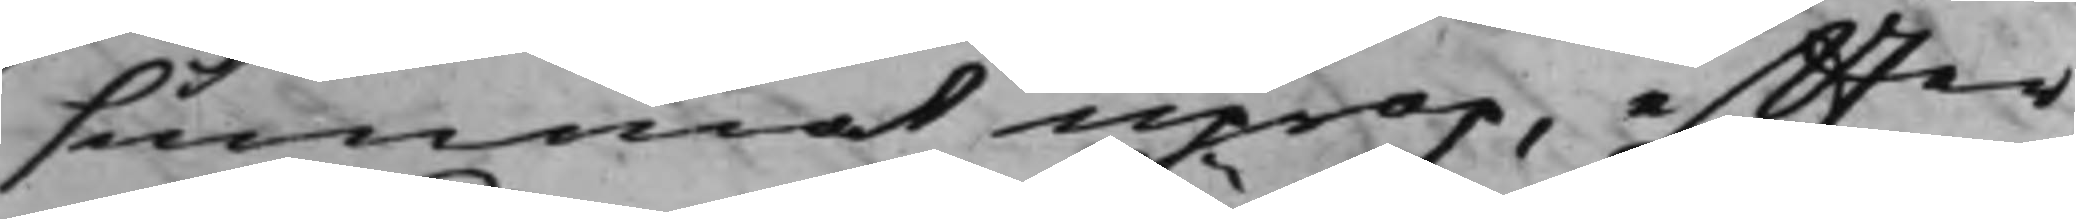summat uprop, effter
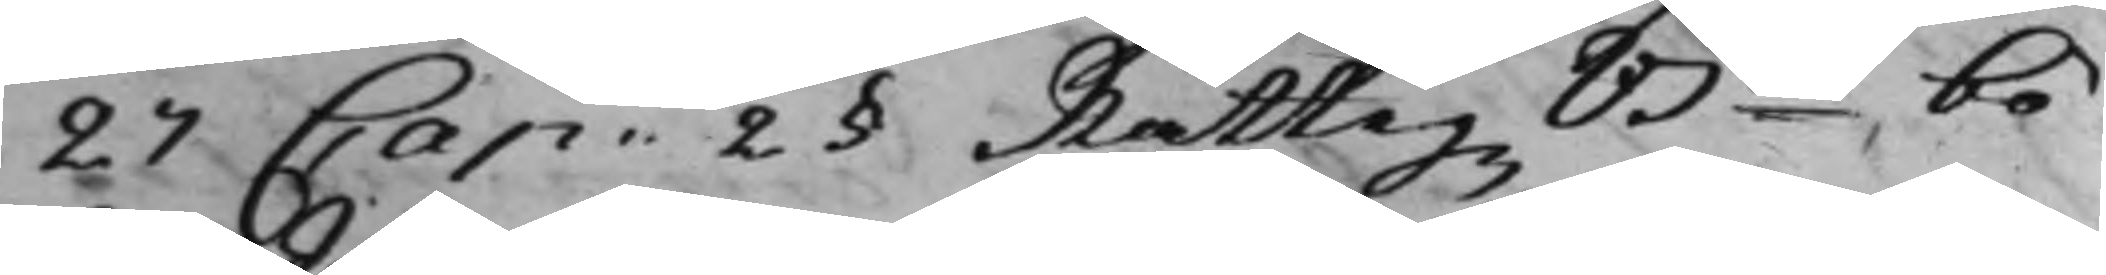27 Cap: 2§ Rättegz Bn bö¬
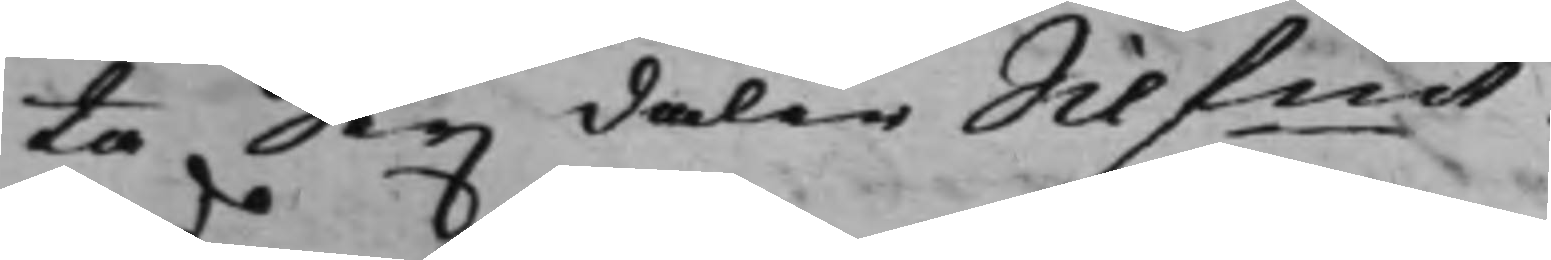ta Sex daler Silfmt.
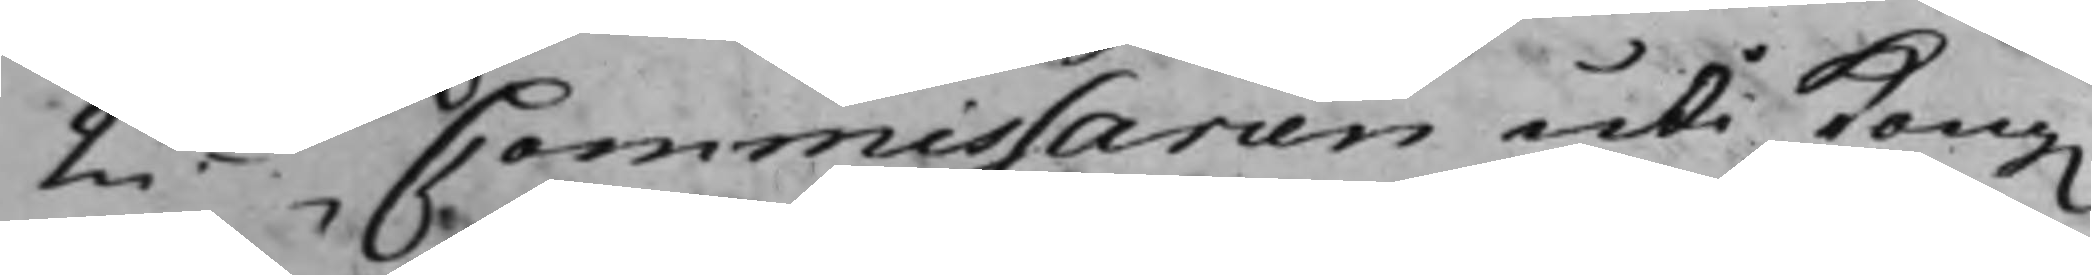2do Commissarien uti Kong.
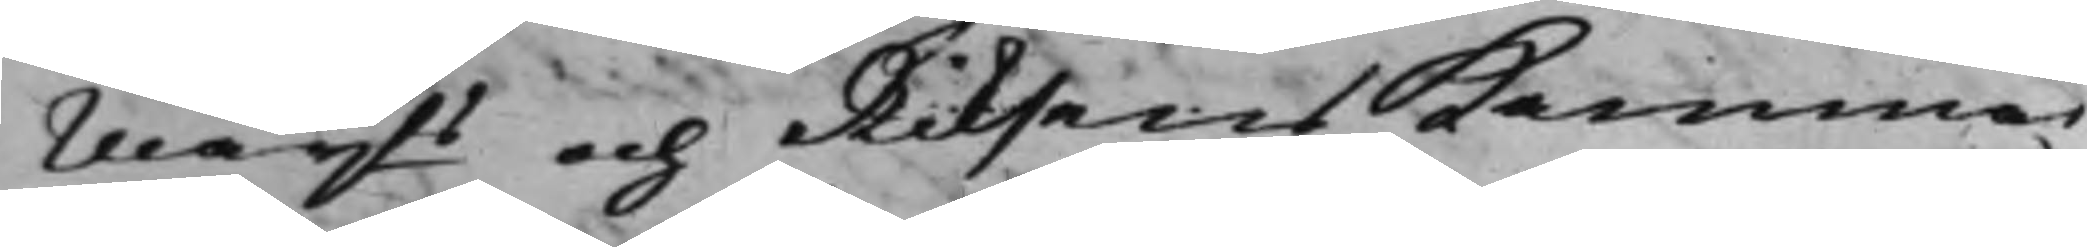Mayts och Riksens Kammar¬
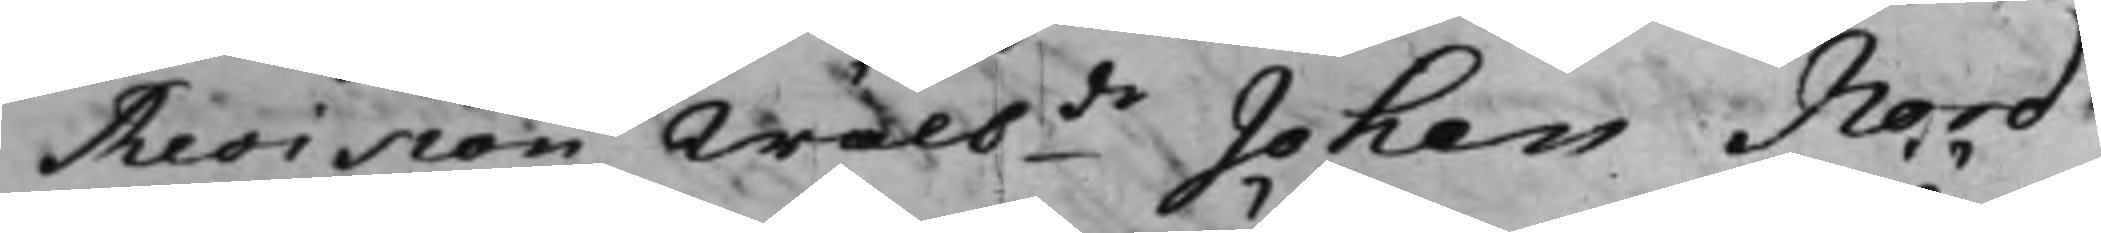Revision Wälbde Johan Nord¬
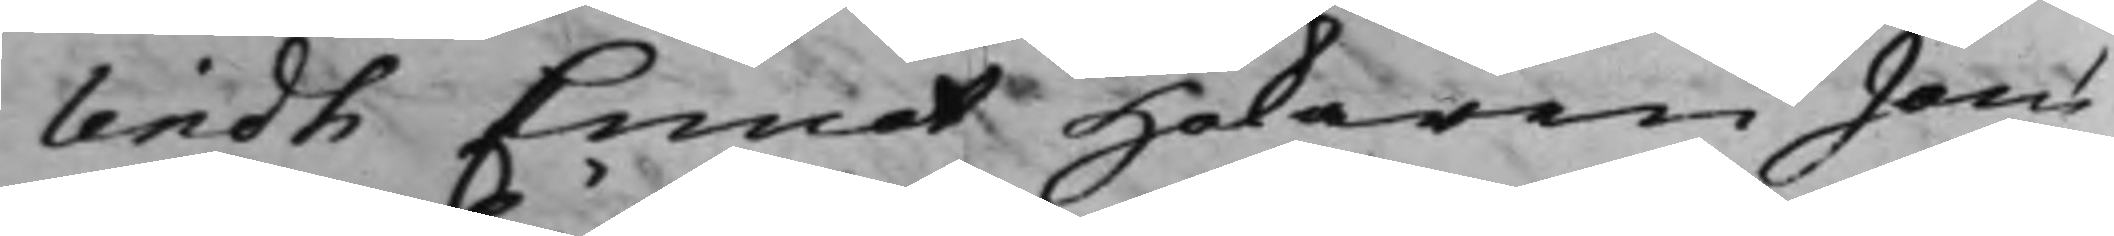lindh Emot Hökaren Jöns
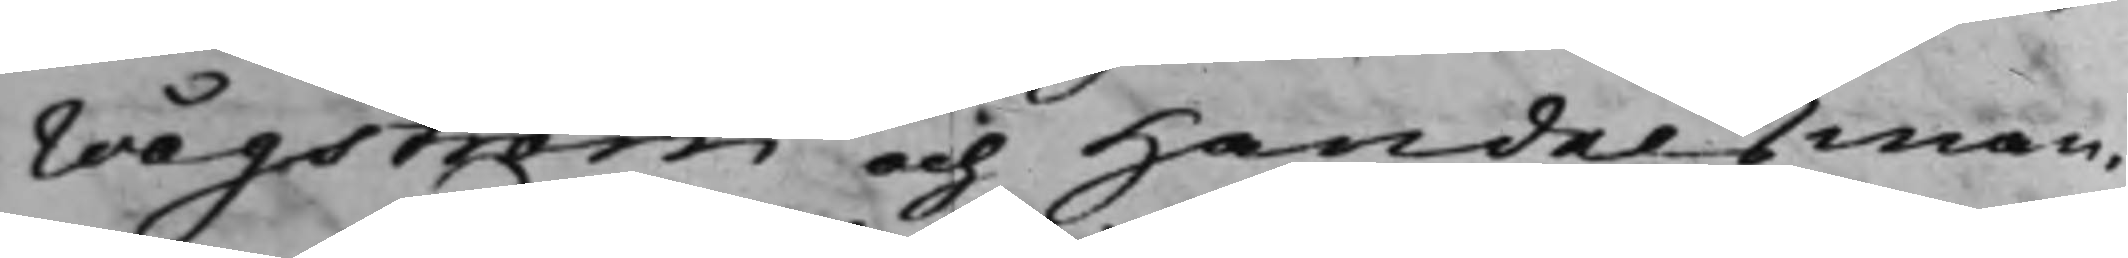Wågström och Handelsman¬
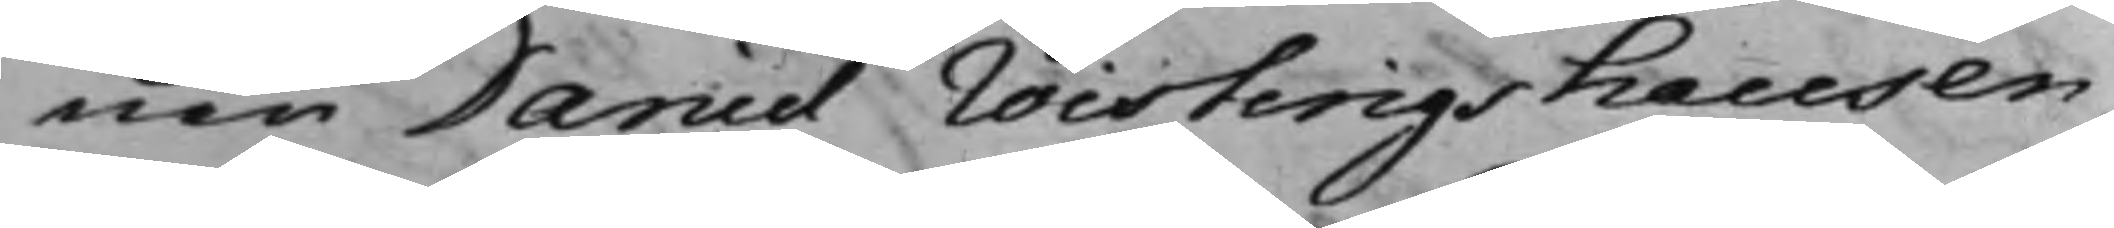nen Daniel Wisterigshausen,
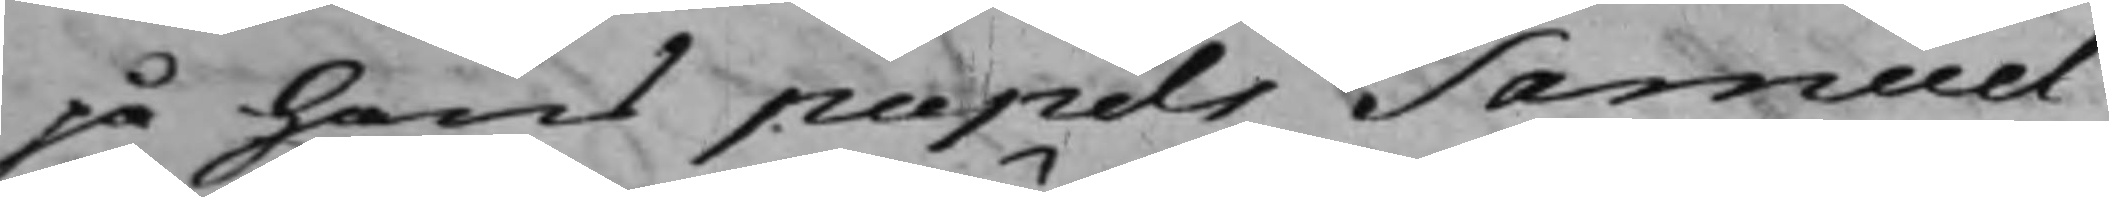på hans pupils Samuel
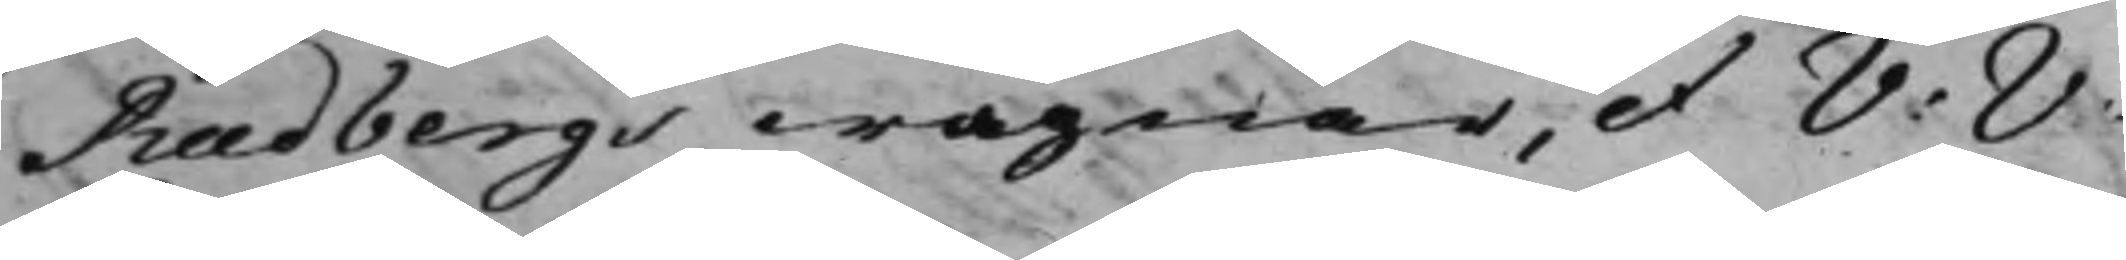Rudbergs wägnar, et V: V:
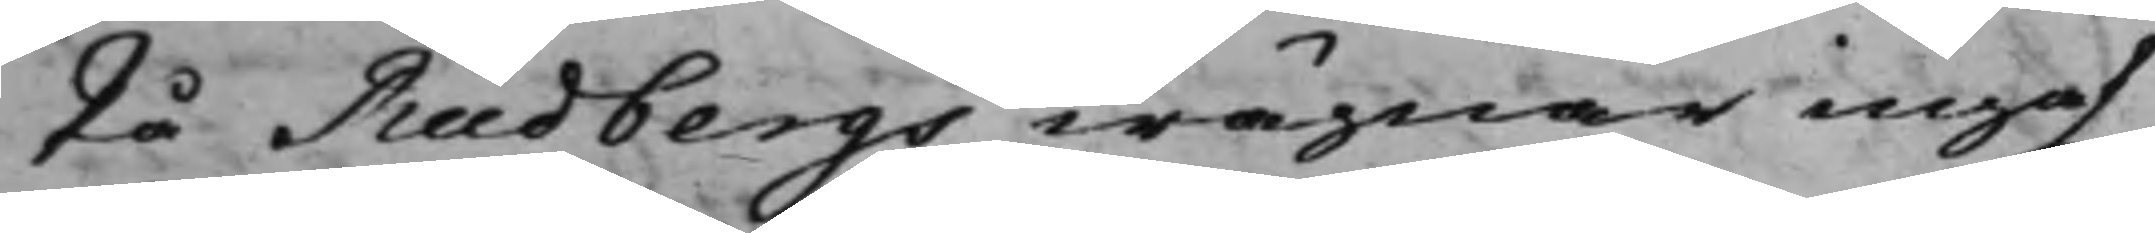På Rudbergs wägnar ingaf
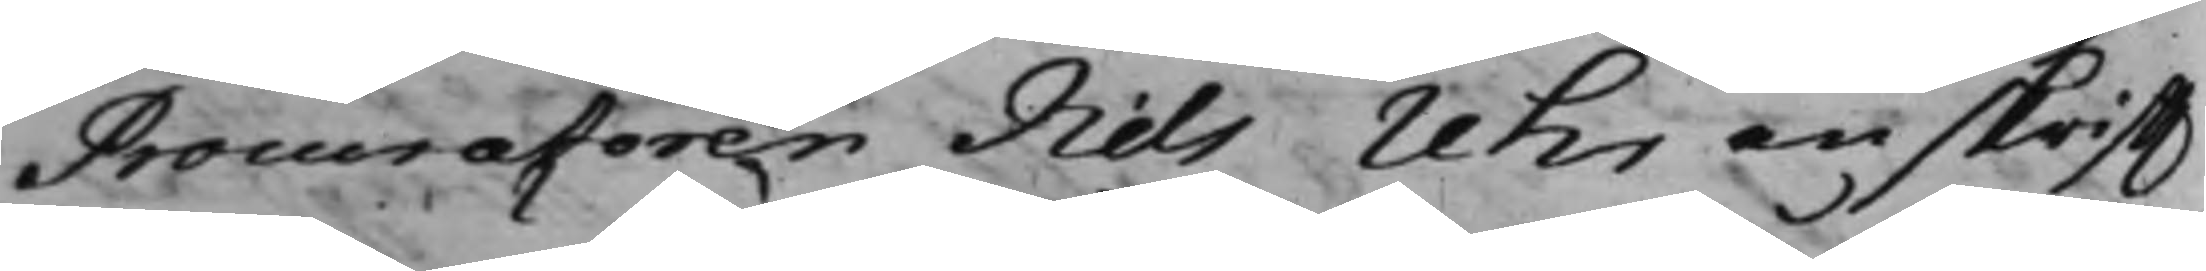Procuratoren Nils Uhr en skrifft
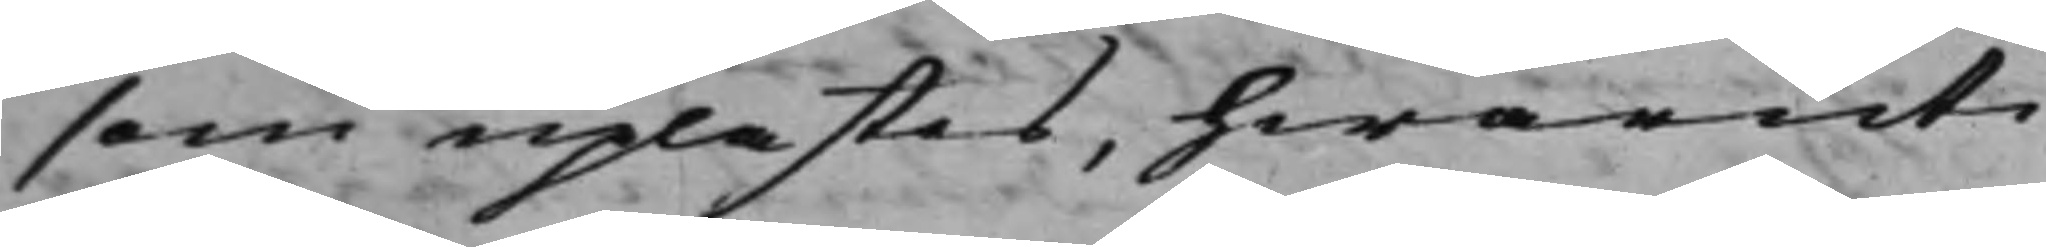som uplästes, hwaruti
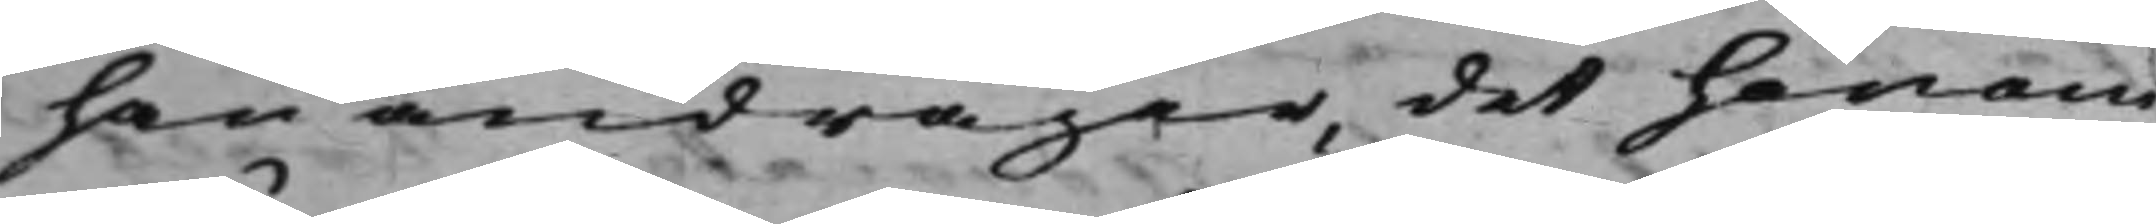han andrager, det honom
